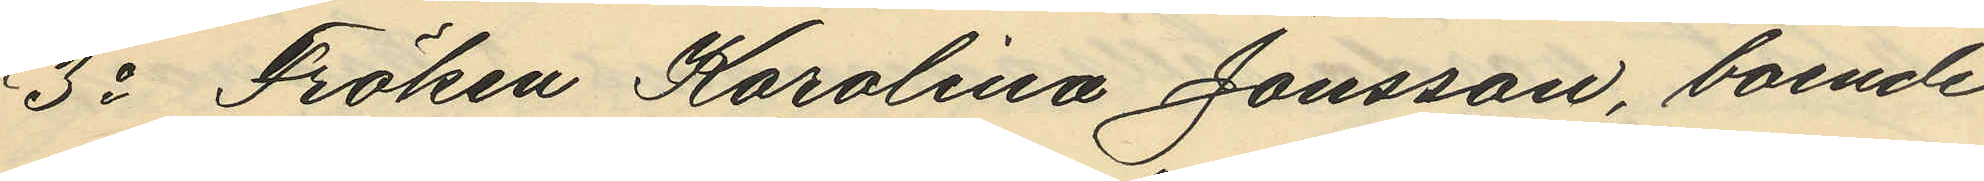3o Fröken Karolina Jonsson, boende
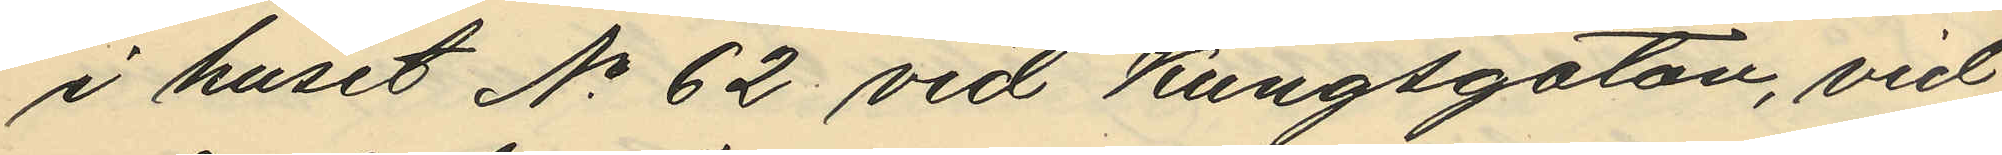i huset No 62 vid Kungsgatan, vid
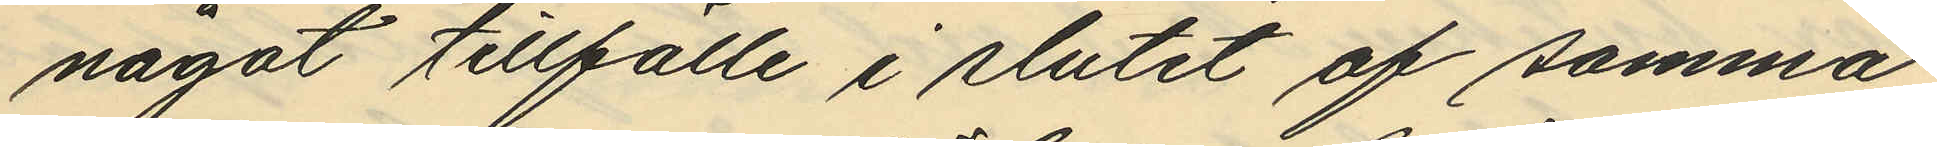något tillfälle i slutet af samma
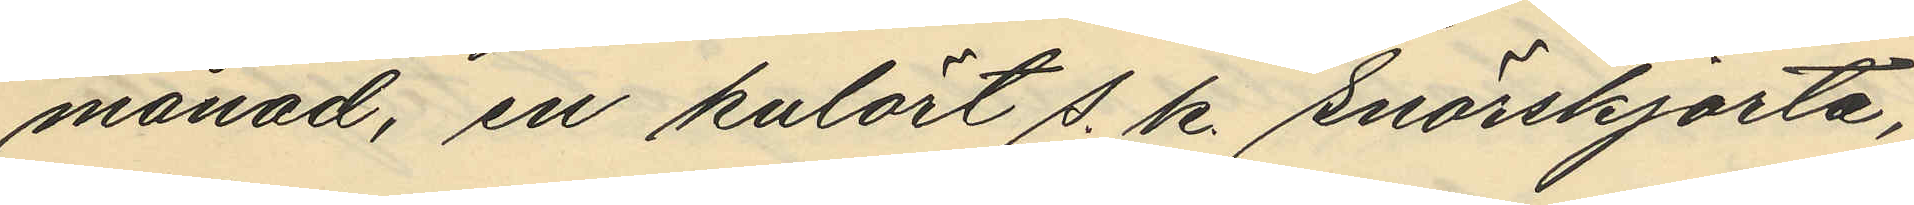månad, en kulört s. k. snörskjorta,
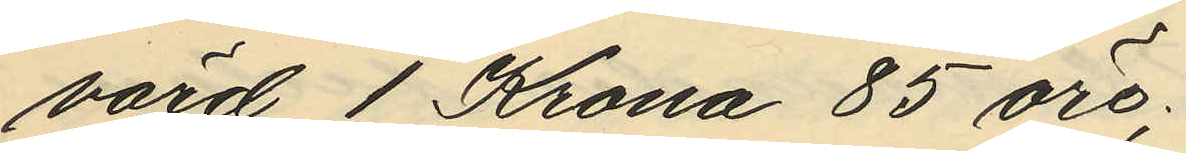värd 1 Krona 85 öre;
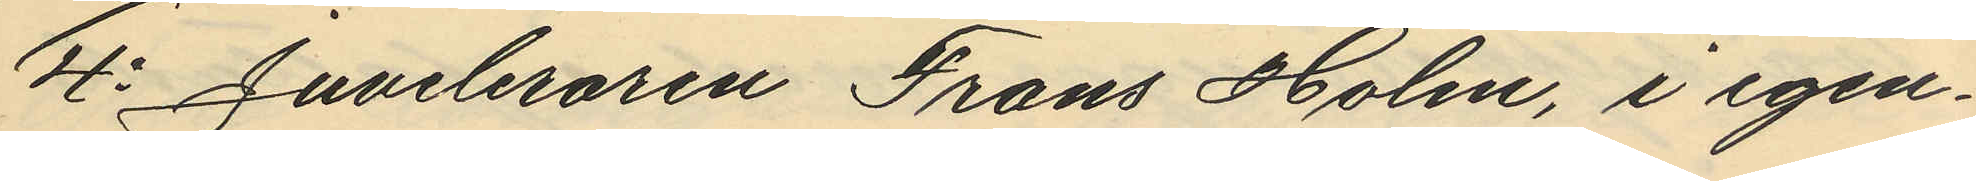4o Juveleraren Frans Holm, i egen¬
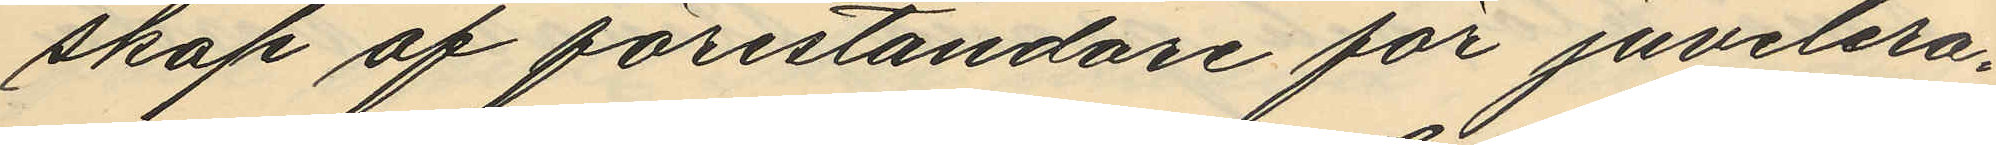skap af föreståndare för juvelera¬
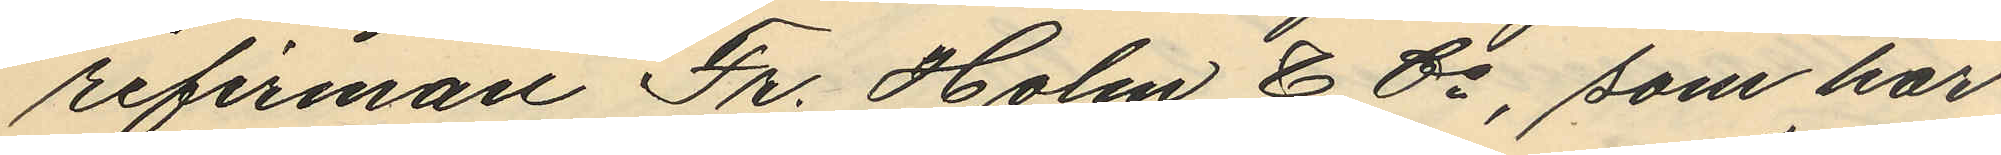refirman Fr. Holm & Co, som har
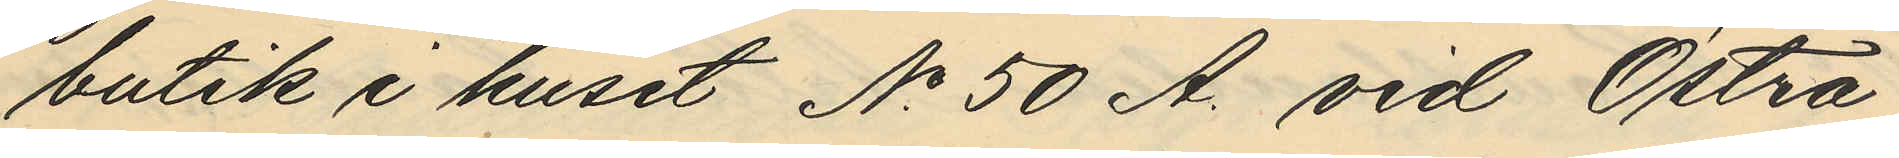butik i huset No 50 A. vid Östra
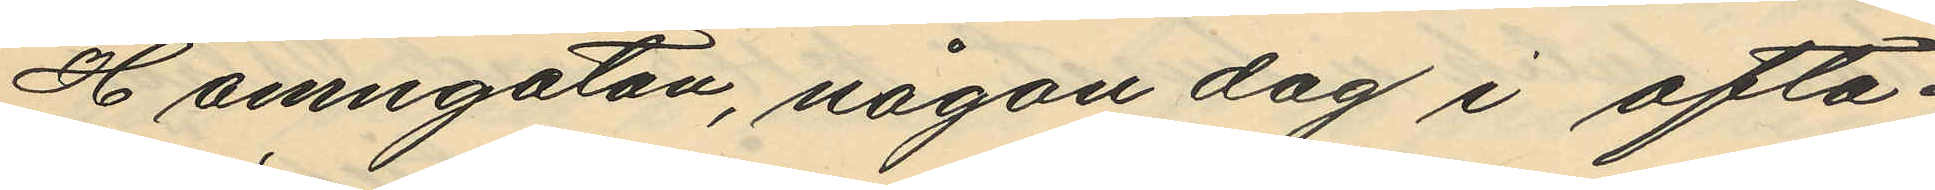Hamngatan, någon dag i ofta¬
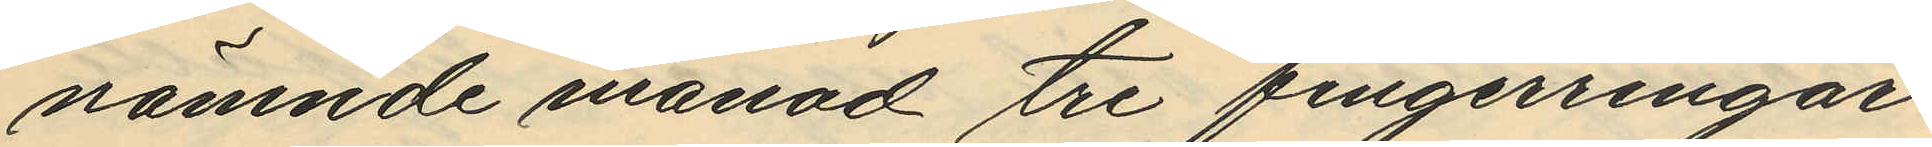nämnde månad tre fingerringar
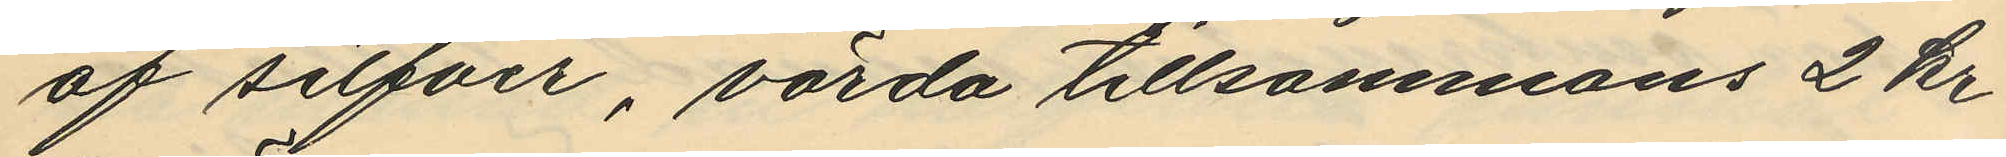af silfver, värda tillsammans 2 kr
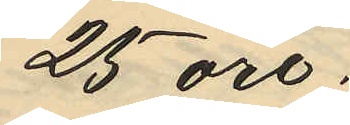25 öre.
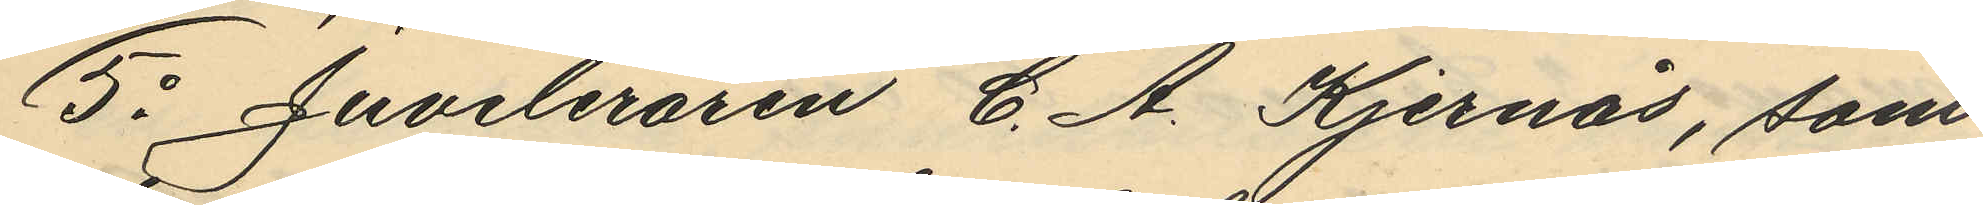5o Juveleraren C. A. Kjernås, som
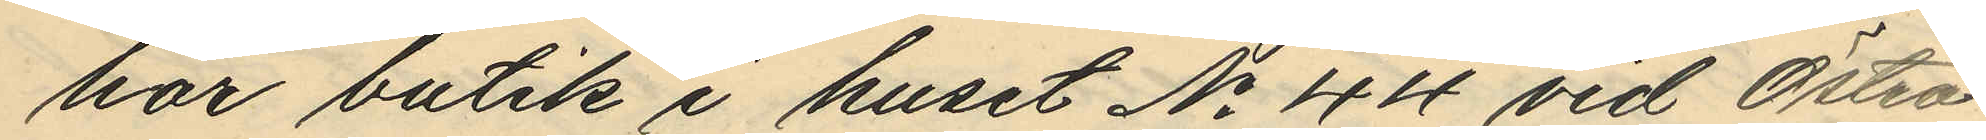har butik i huset No 44 vid Östra
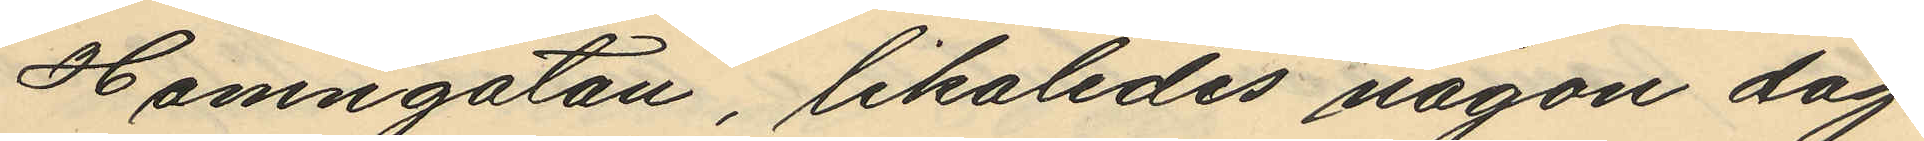Hamngatan, likaledes någon dag
